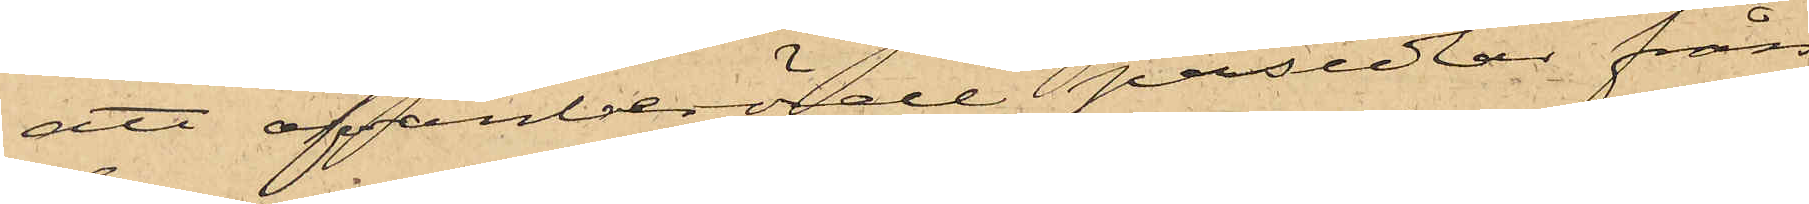att ofvanberörde persedlar från
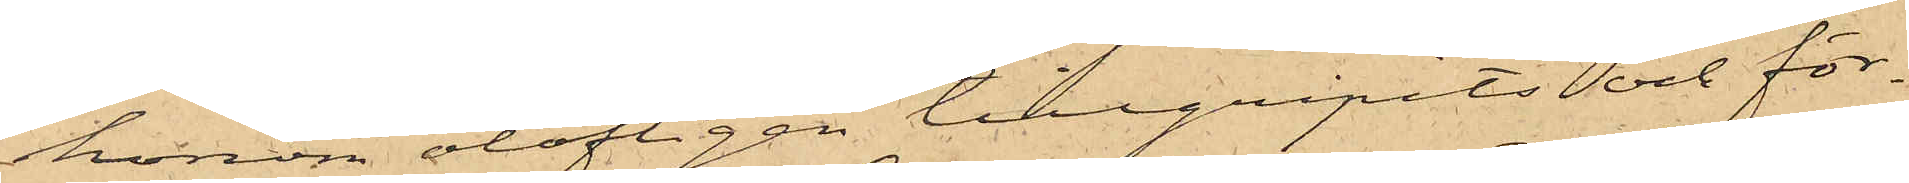honom olofligen tillgripits och för¬
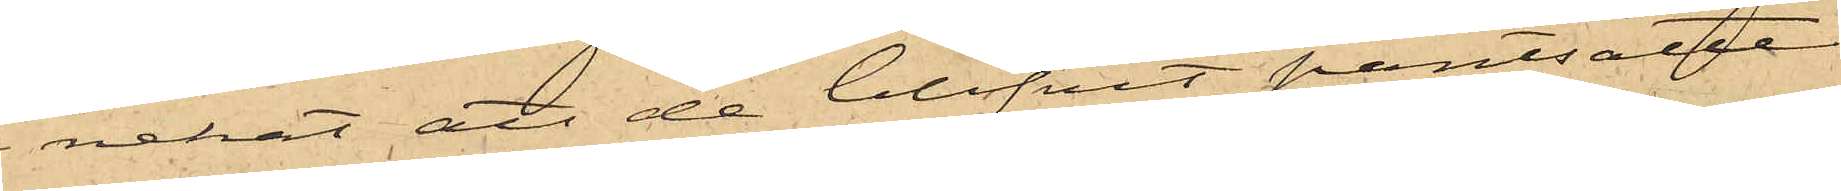nekat att de blifvit pantsatta
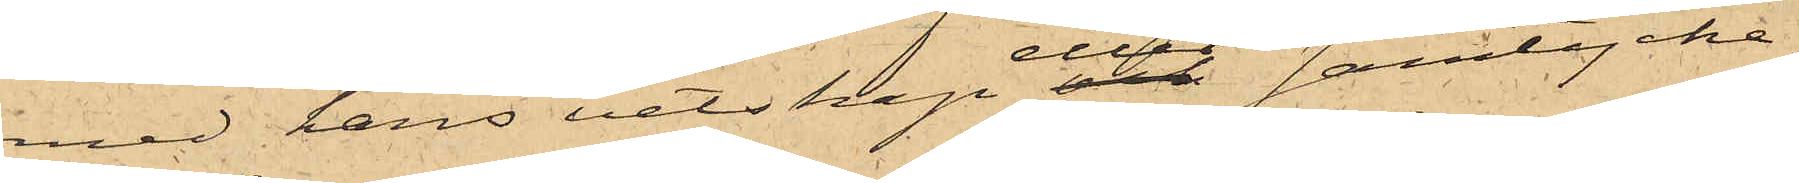med hans vetskap eller samtycke,
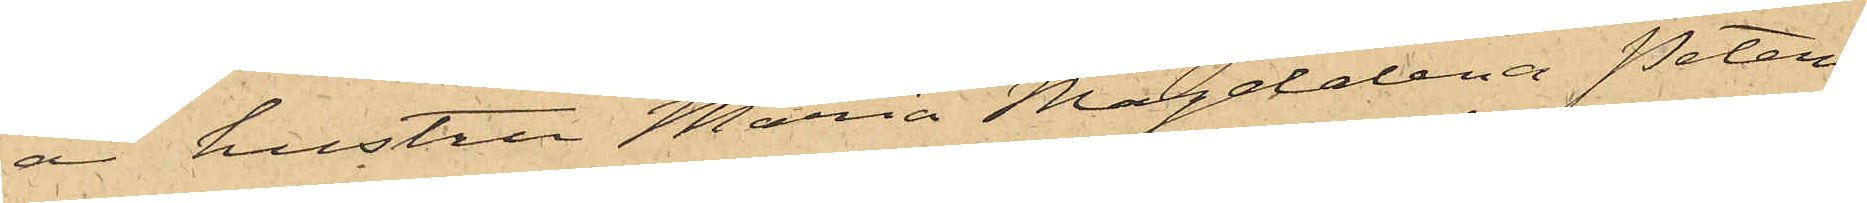är hustru Maria Magdelena Peters¬
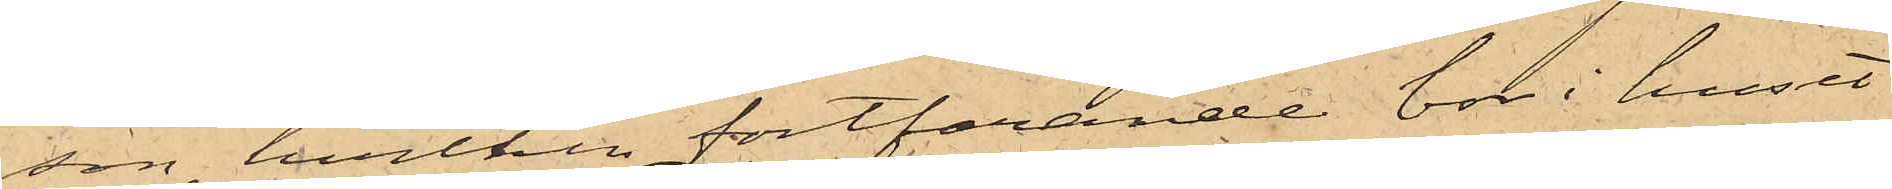son, hvilken fortfarande bor i huset
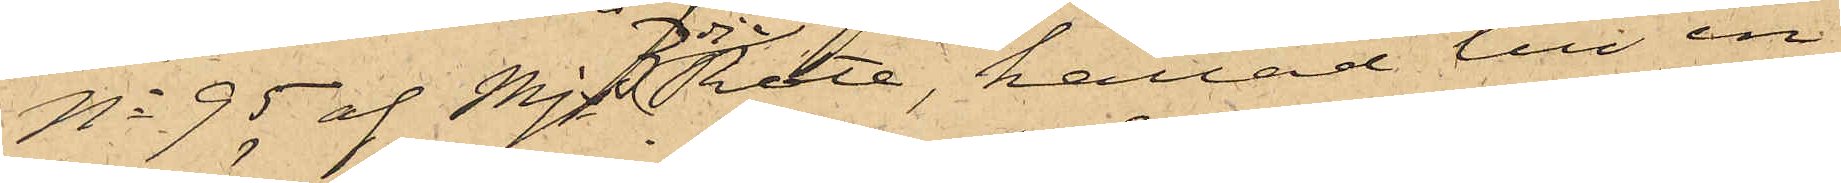No 95 af Mjs 3dje Rote, kallad till in¬
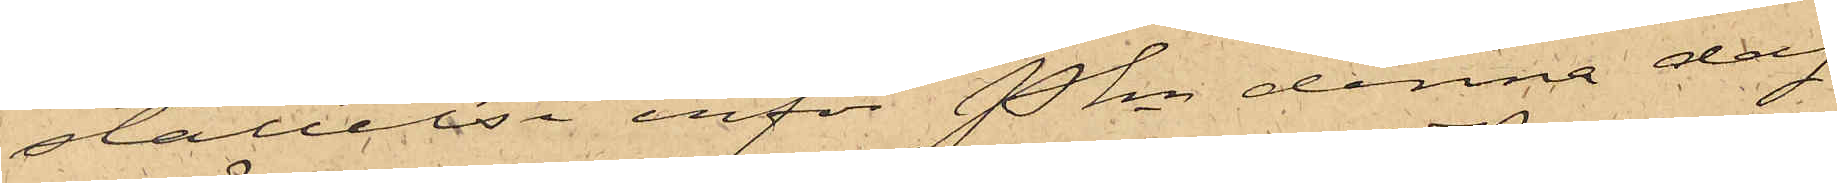ställelse inför Pkn denna dag
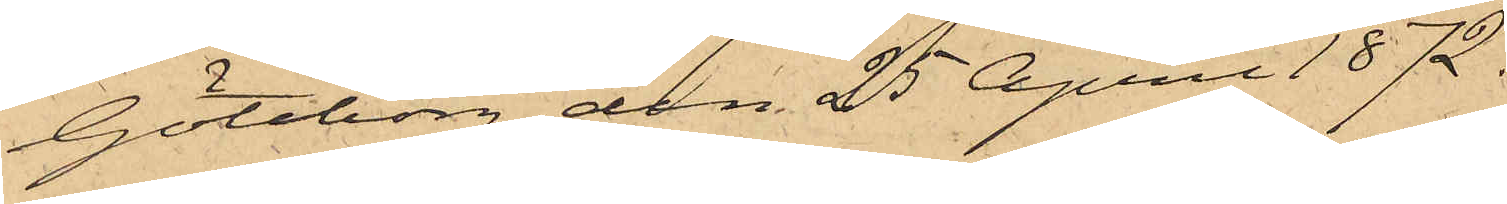Göteborg den 25 April 1872.
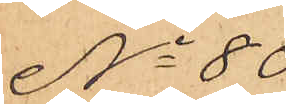No 80
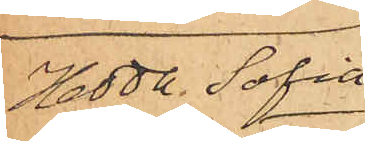Hedda Sofia
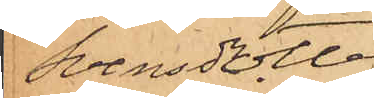Svensdotter
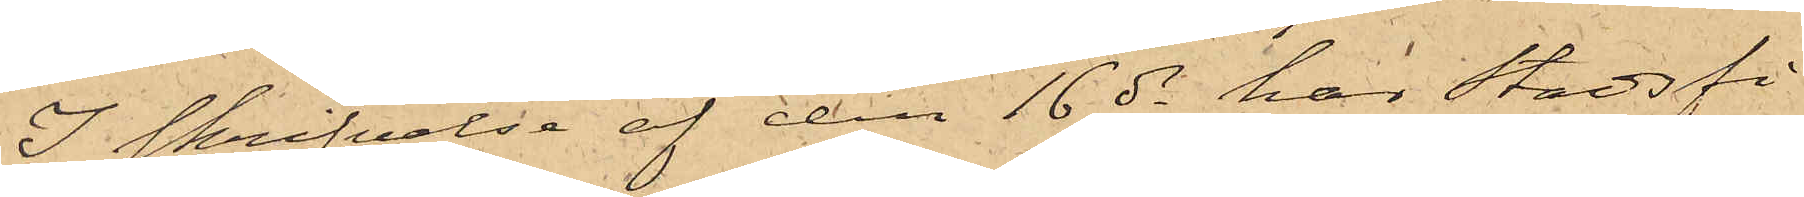I skrifvelse af den 16 ds häar Stadsfi¬
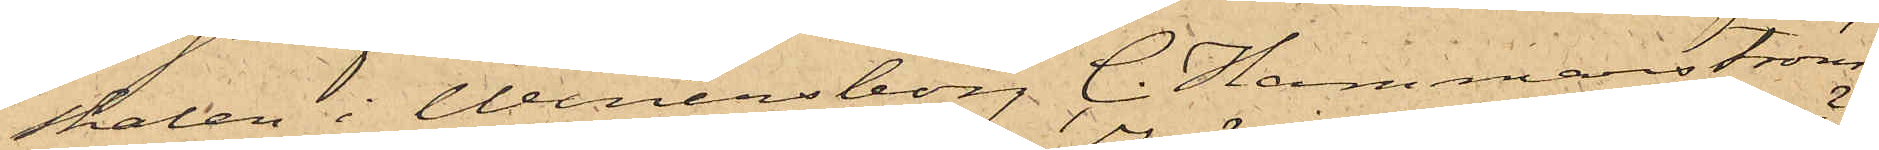skalen i Wenersborg C. Hammarström,
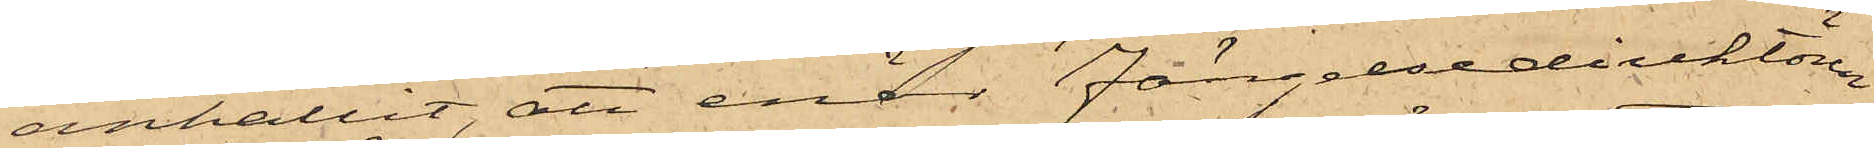anhållit, att enär fängelsedirektören
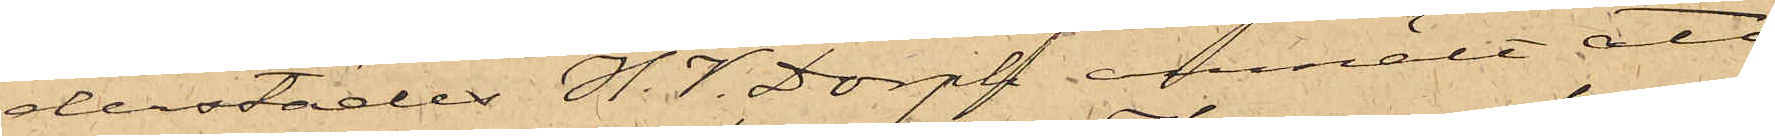derstädes H.V. Dorph anmält att
